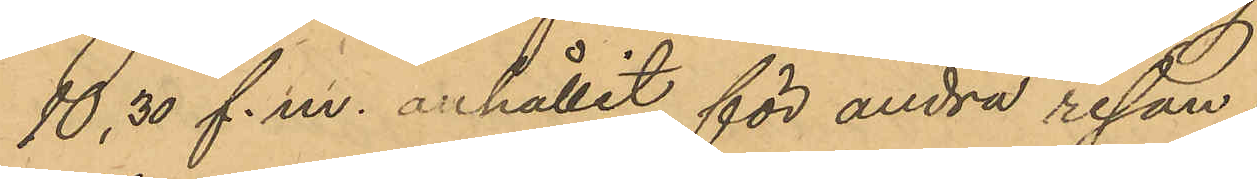10,30 f. m. anhållit för andra resan
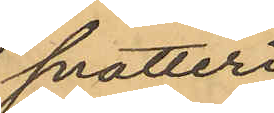snatteri
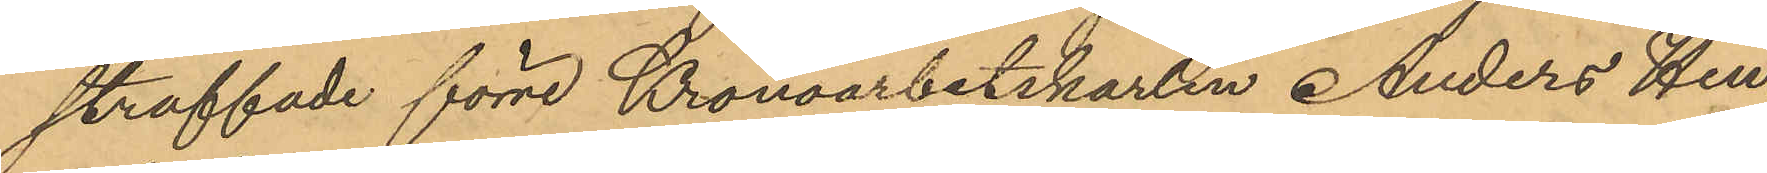straffade förre Kronoarbetskarlen Anders Hen¬
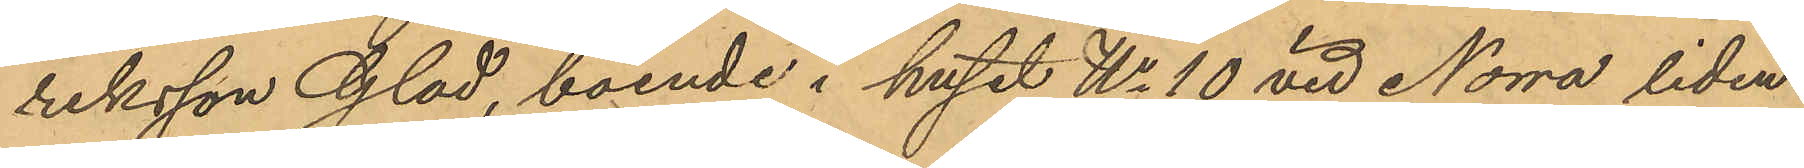riksson Glad, boende i huset No 10 vid Norra liden
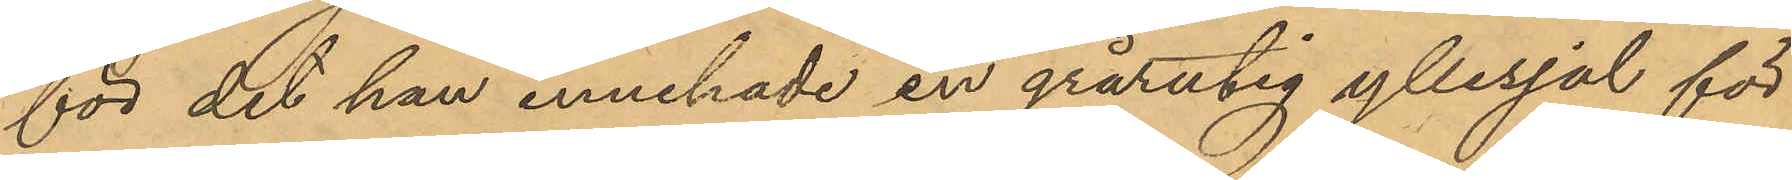för det han innehade en grårutig yllesjal för
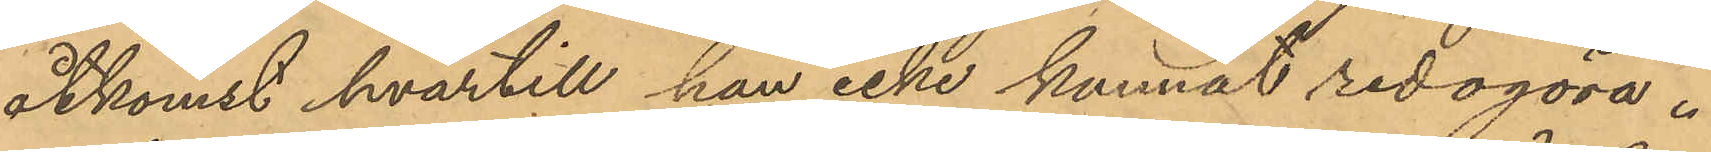åtkomst hvartill han icke kunnat redogöra.
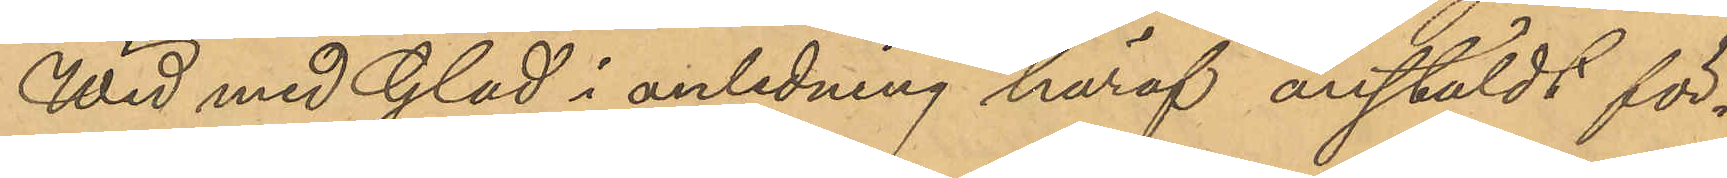Wid med Glad i anledning häraf anstäldt för¬
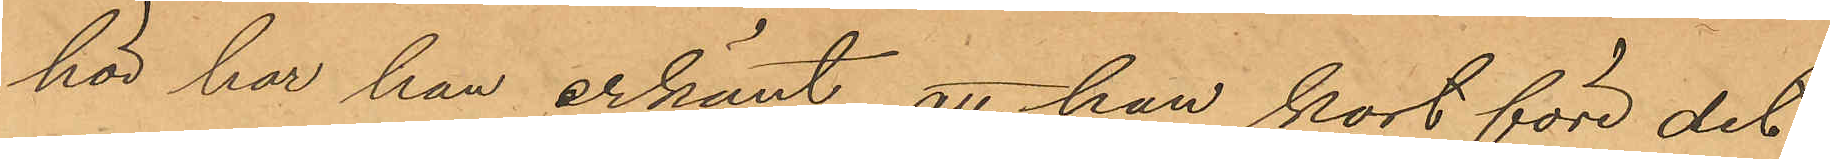hör har han erkänt, att han kort före det
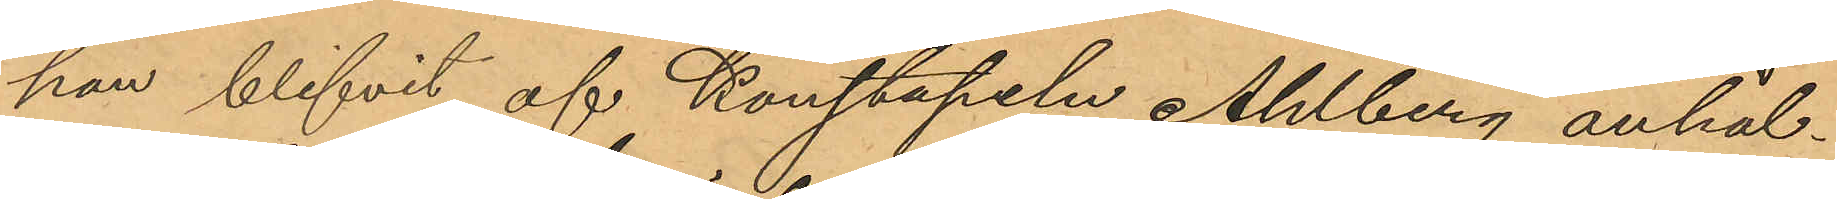han blifvit af Konstapeln Ahlberg anhål¬
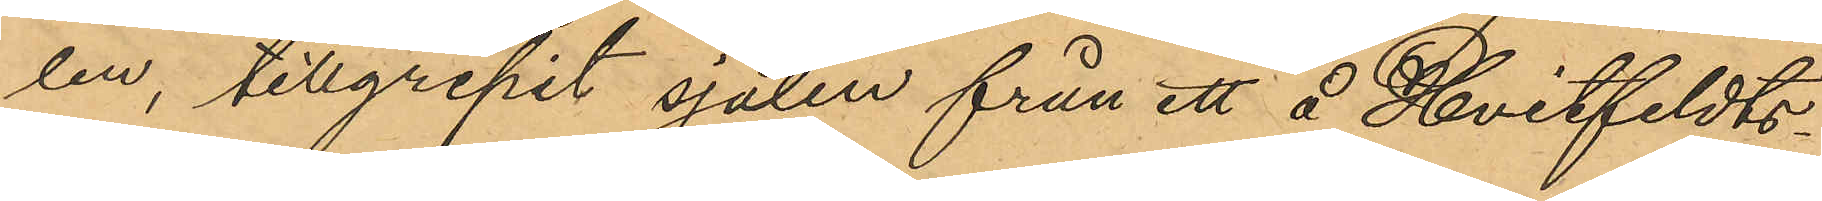len, tillgripit sjalen från ett å Hvitfeldts¬
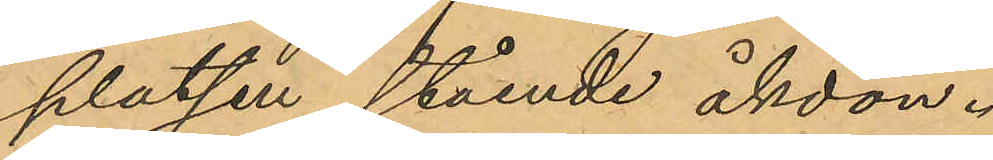platsen stående åkdon.
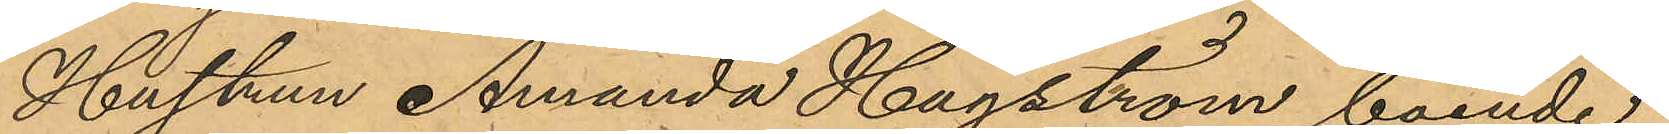Hustrun Amanda Hagström, boende
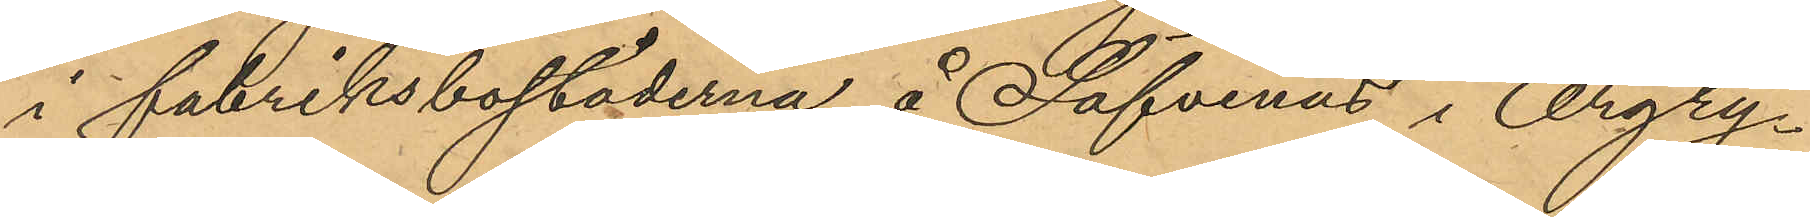i fabriksbostäderna å Säfvenäs i Örgry¬
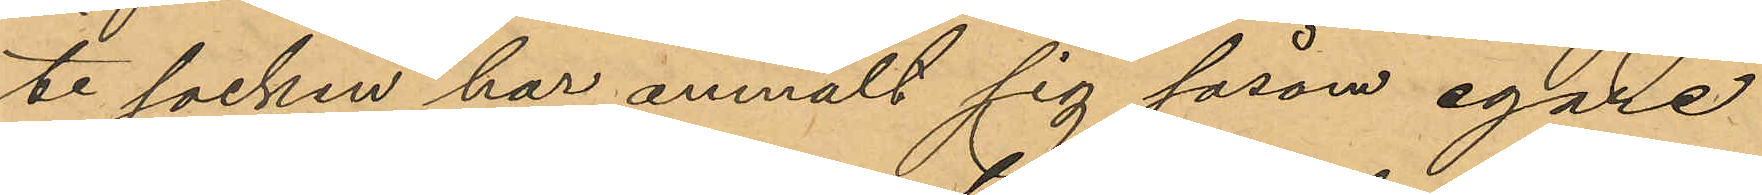te socken har anmält sig såsom egare
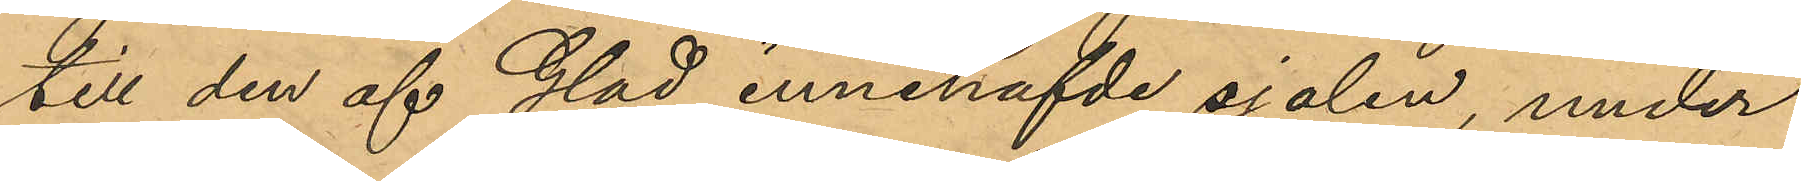till den af Glad innehafvde sjalen, under
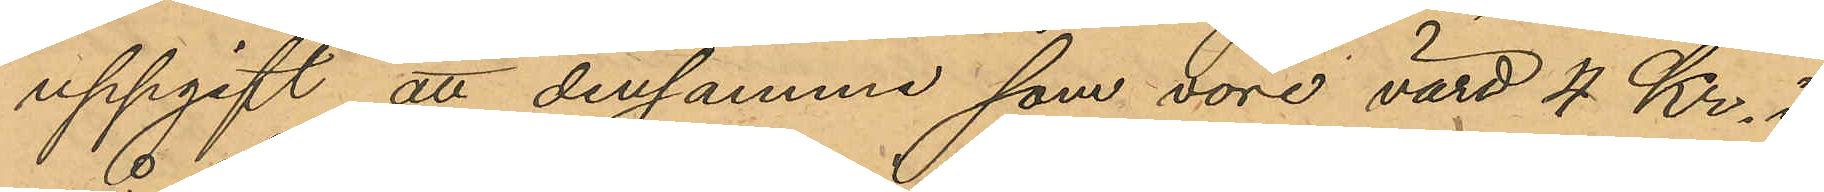uppgift att densamma som vore värd 4 Kr. i
